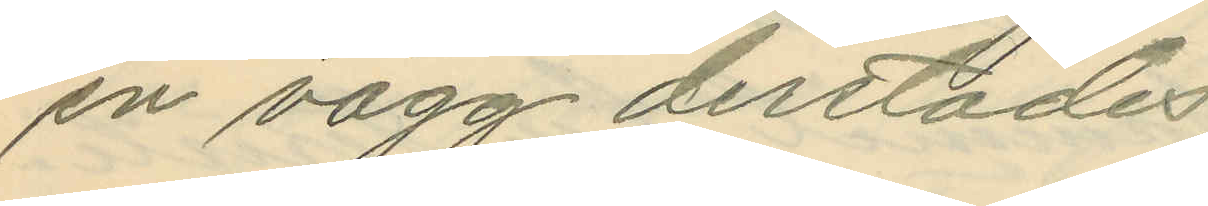en vägg derstädes.
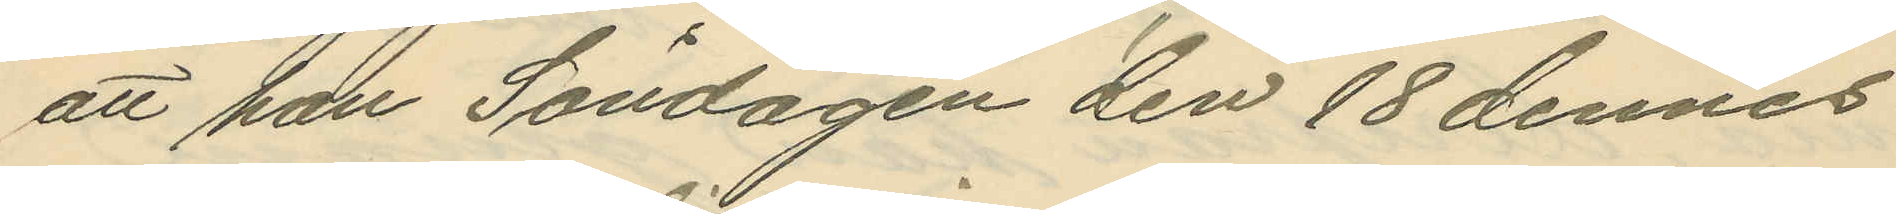att han Söndagen den 18 dennes
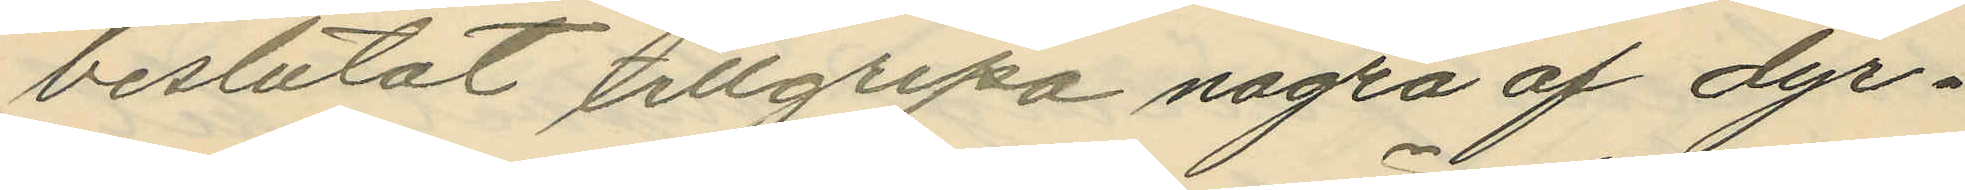beslutat tillgripa några af dyr¬
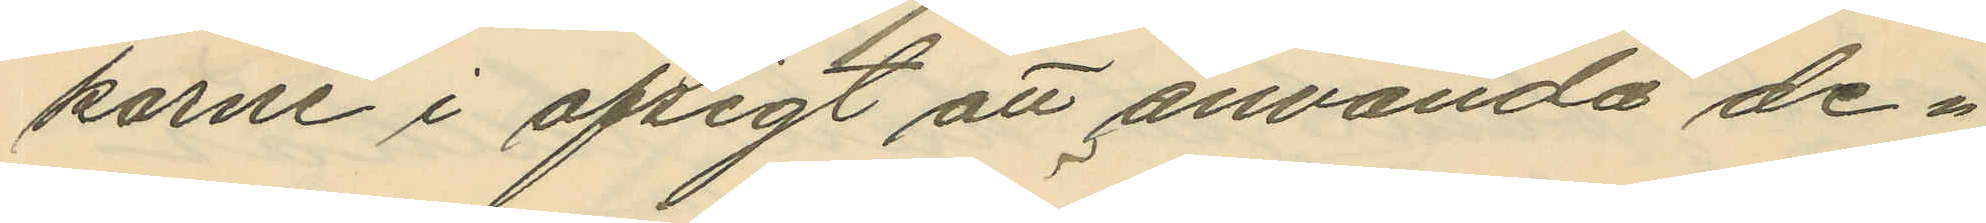karne i afsigt att använda de¬
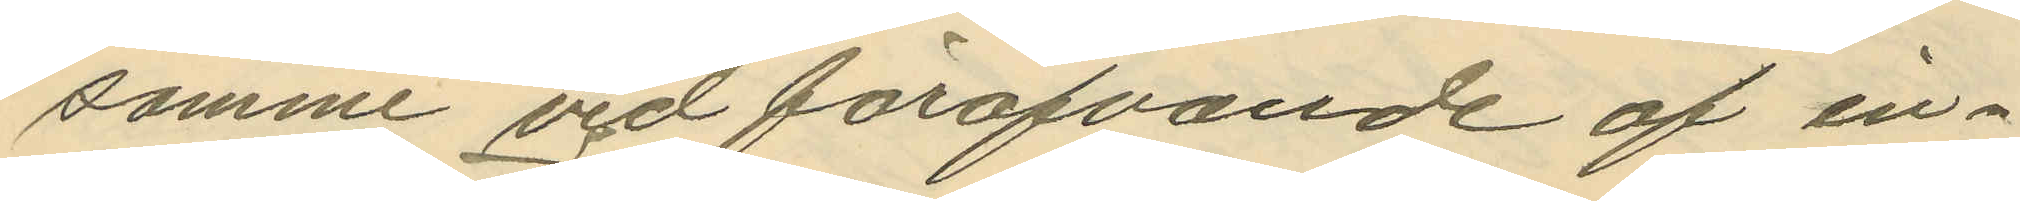samme vid föröfvande af in¬
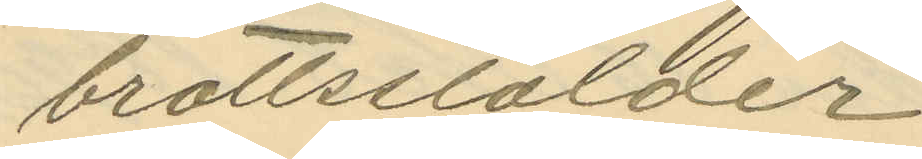brottsstölder;
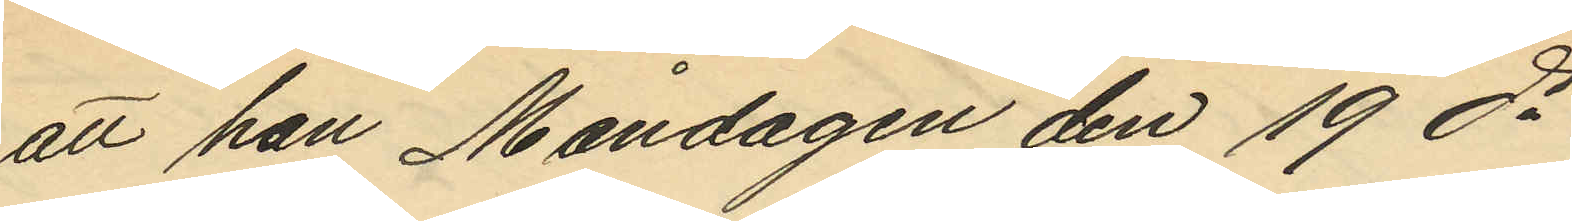att han Måndagen den 19 ds
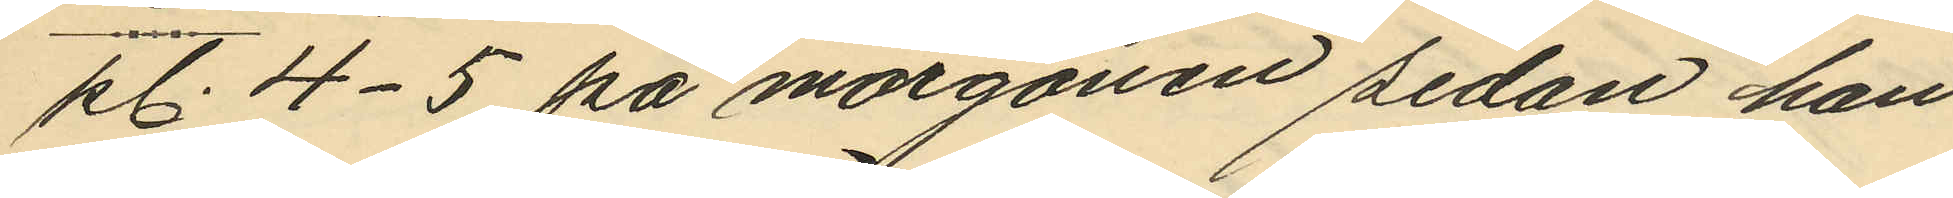kl. 4-5 på morgonen sedan han
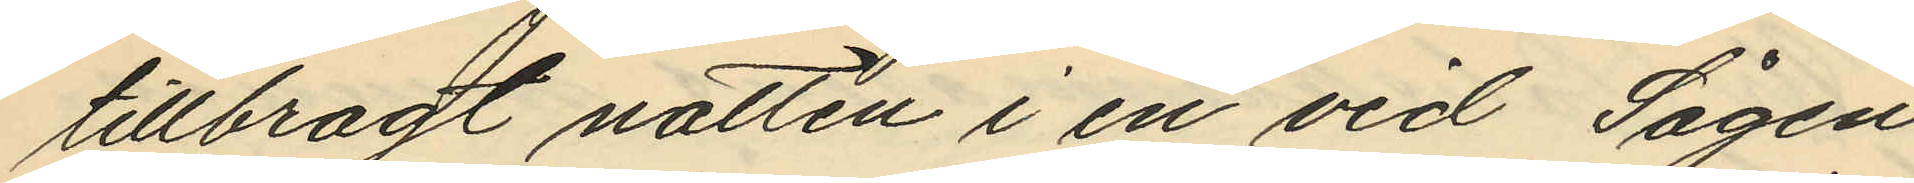tillbragt natten i en vid Sågen
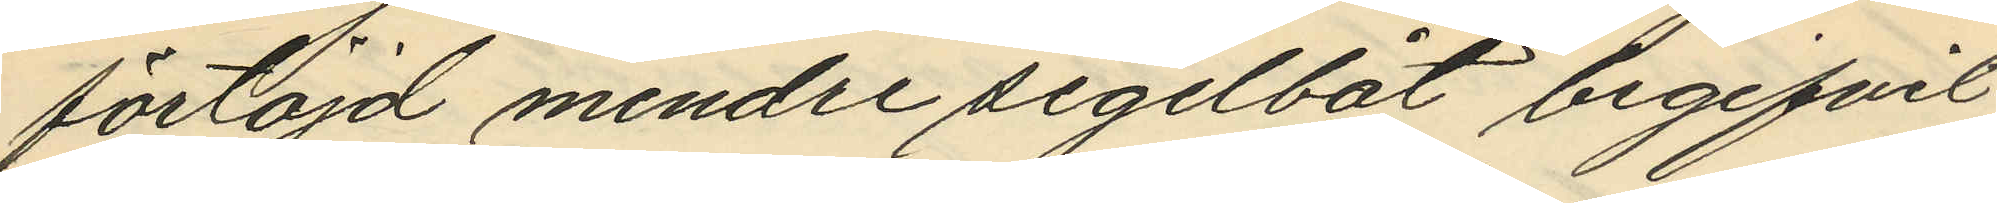förtöjd mindre segelbåt begifvit
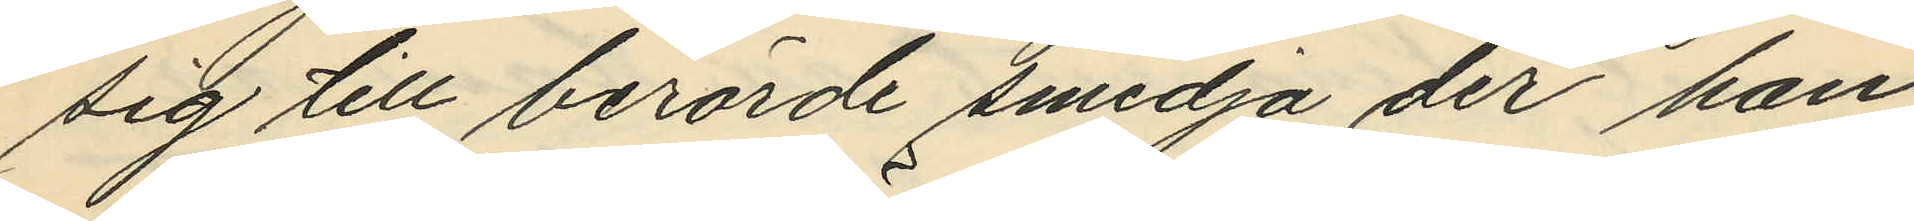sig till berörde smedja der han
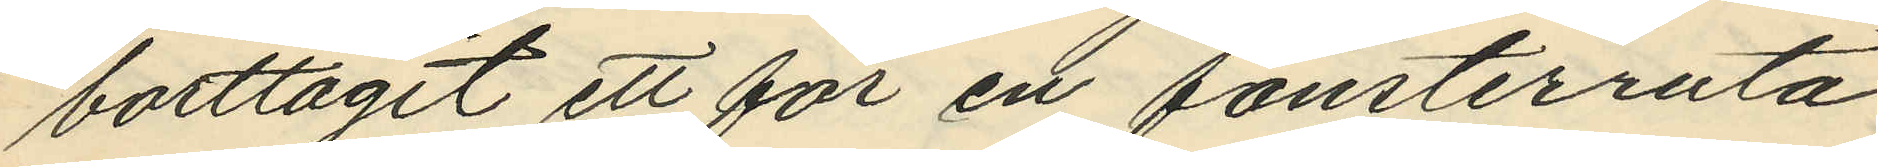borttagit ett för en fönsterruta
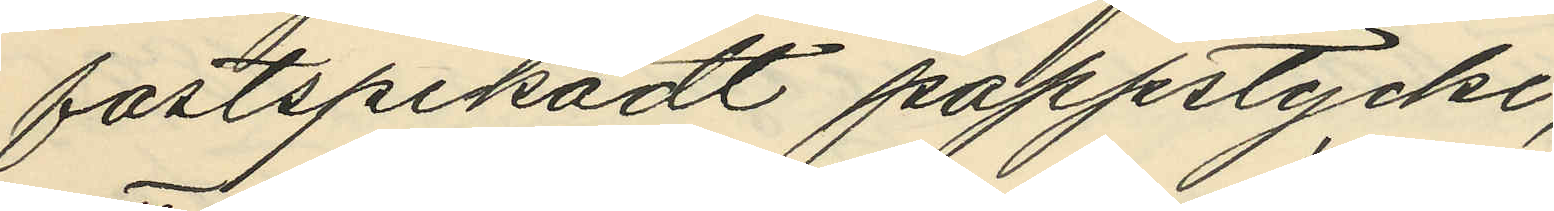fastspikadt pappstycke;
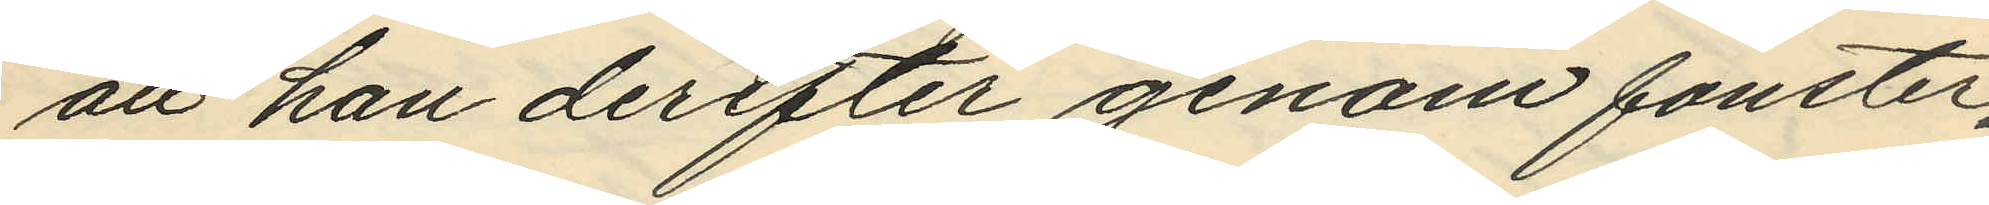att han derefter genom fönster¬
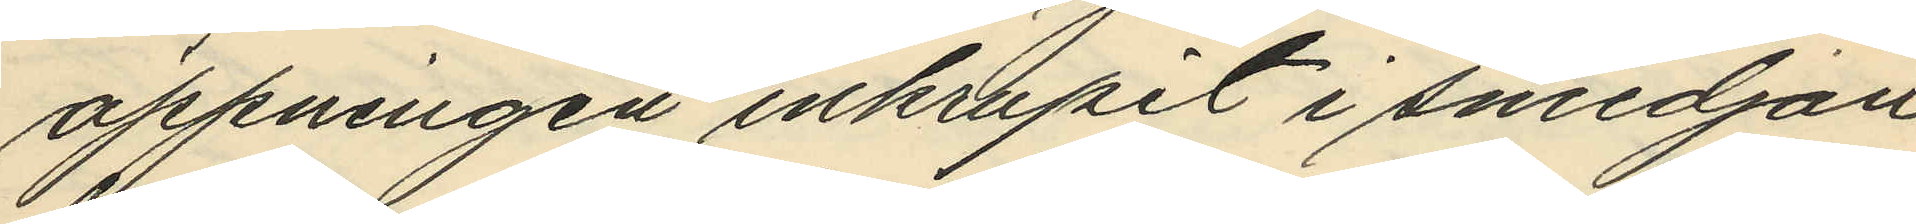öppningen inkrupit i smedjan
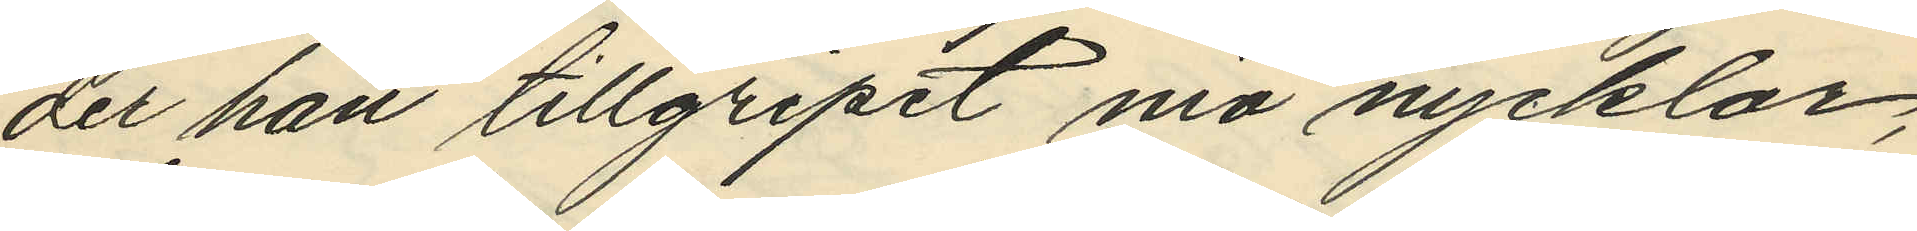der han tillgripit nio nycklar,
